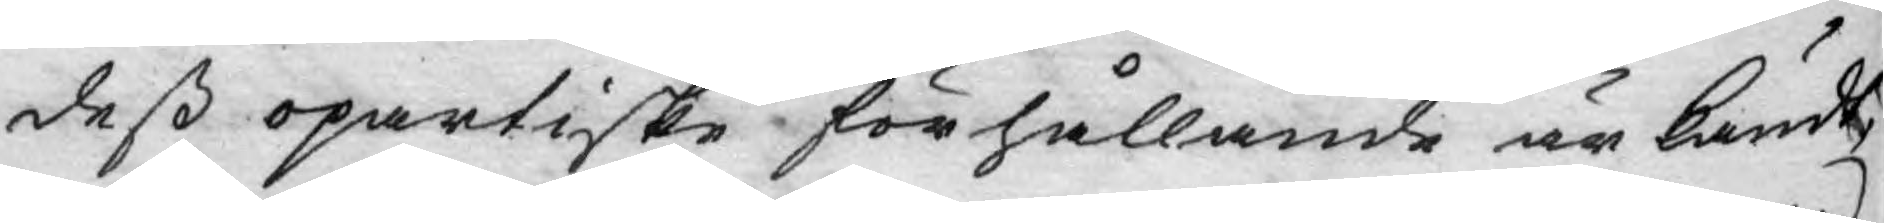dess opartiske förhållande är kändt,
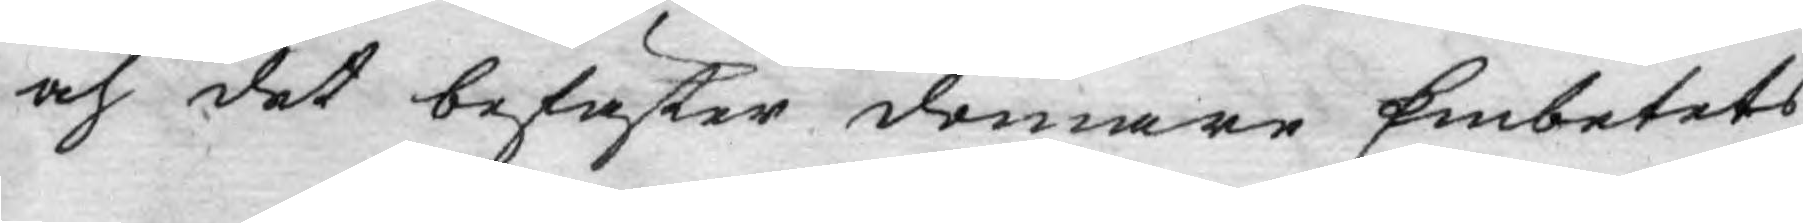och det befäster domare Embetets
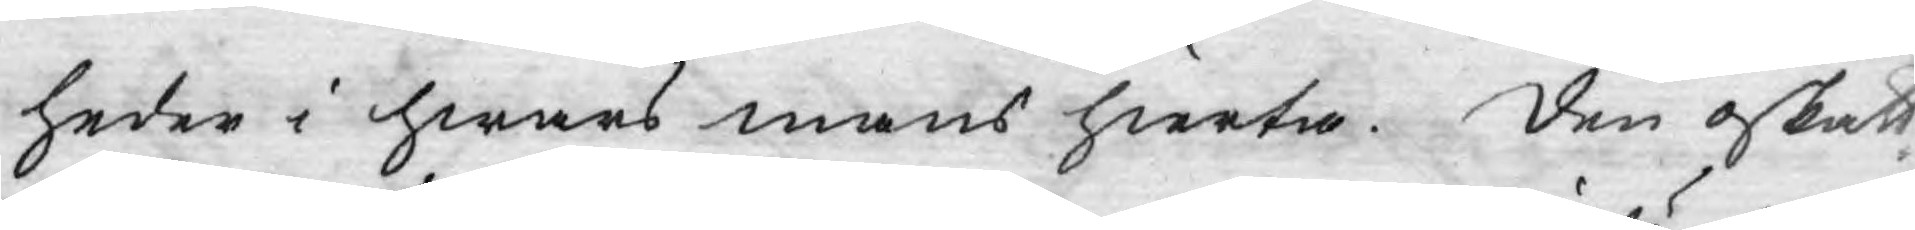heder i hwars mans hierta. den oskatt¬
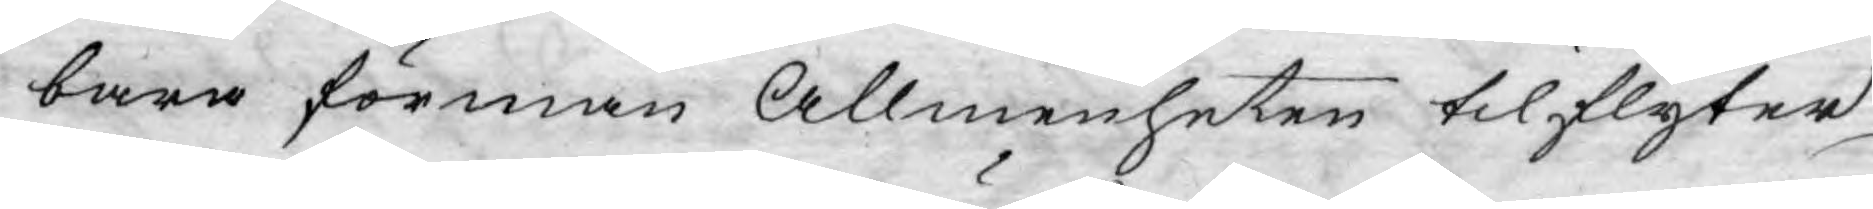bara förmån Allmenheten tilflyter
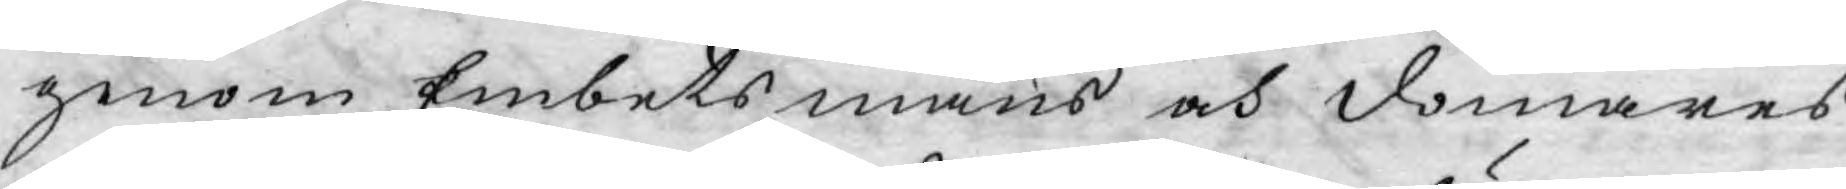genom Embets mäns och domares
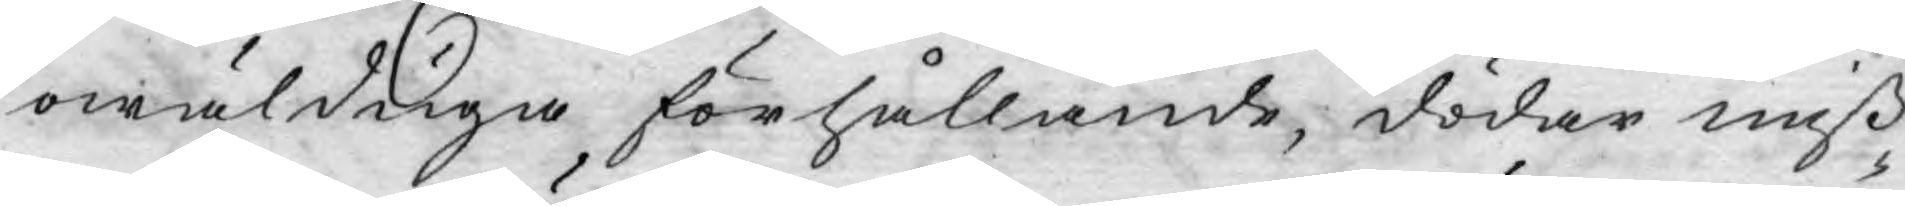owälduga förhållande, dödar miß¬
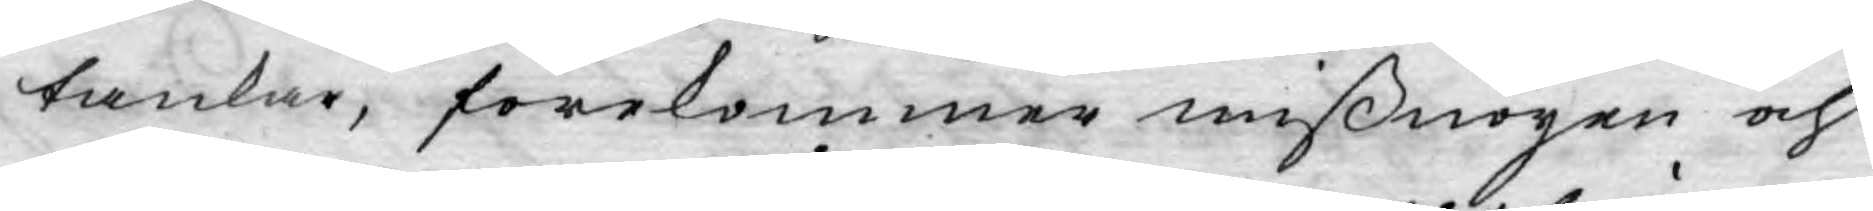tankar, förekommer mißnöyen och
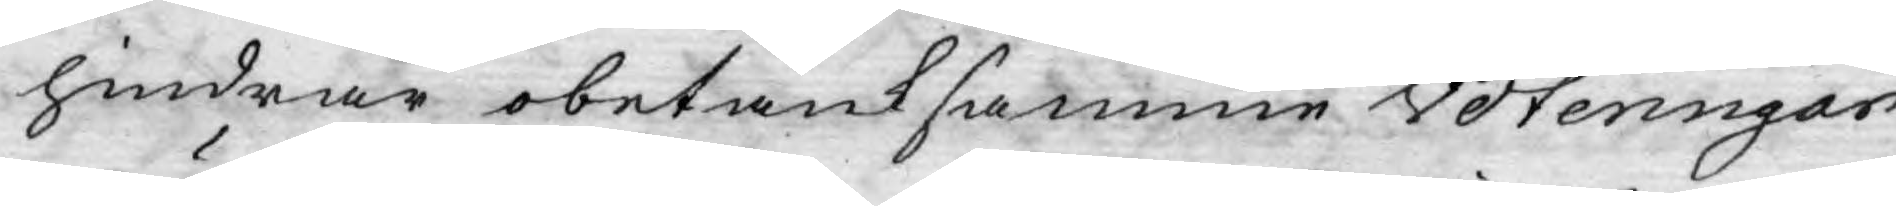hindrar obetänksamme voteringar
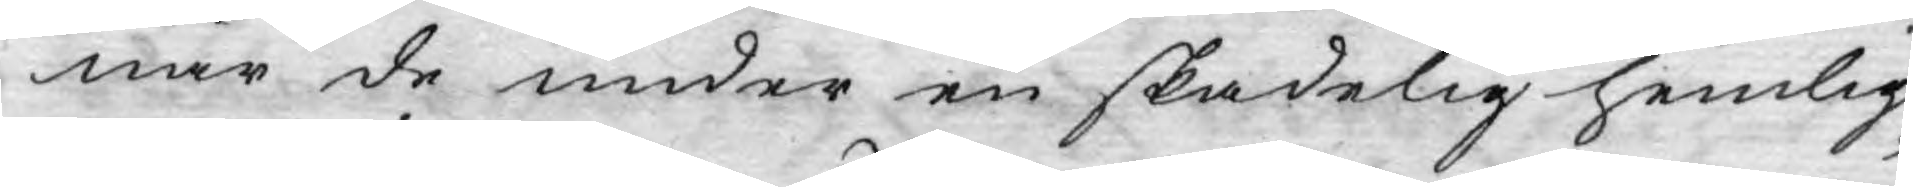när de under en skadelig hemlig¬
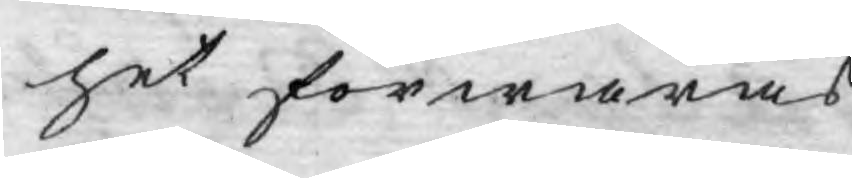het förwaras.
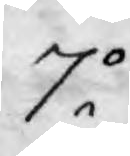7o
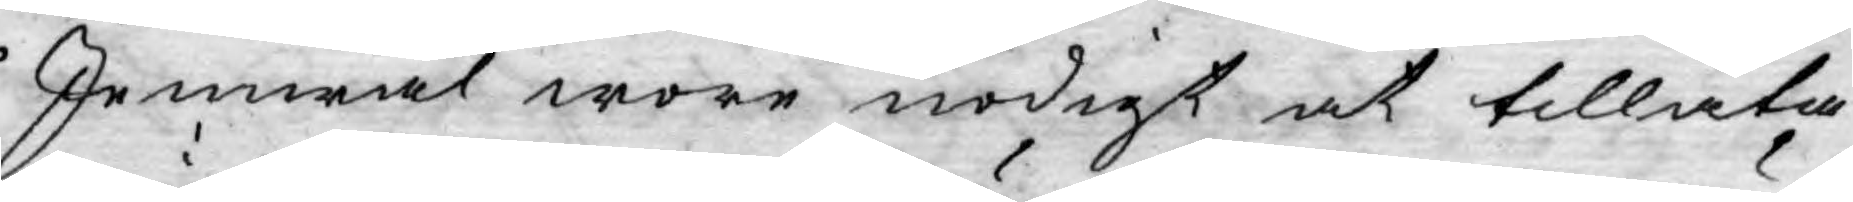Jemwäl wore nödigt at tillåta
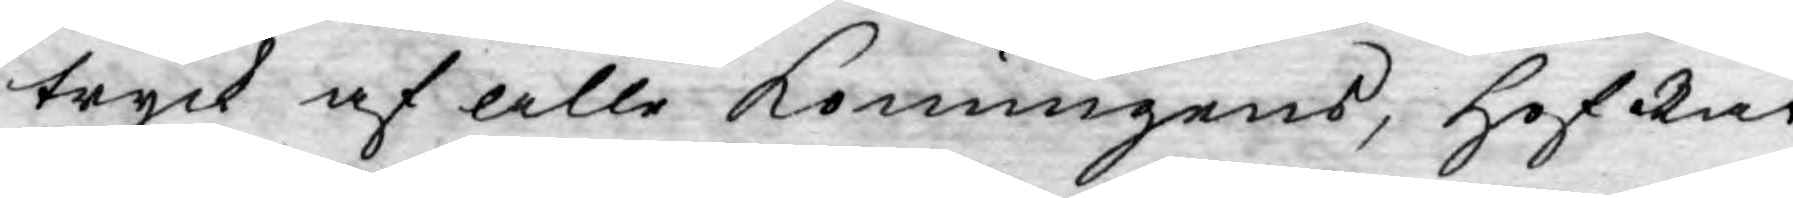tryck af alle Konungens, HofRät¬
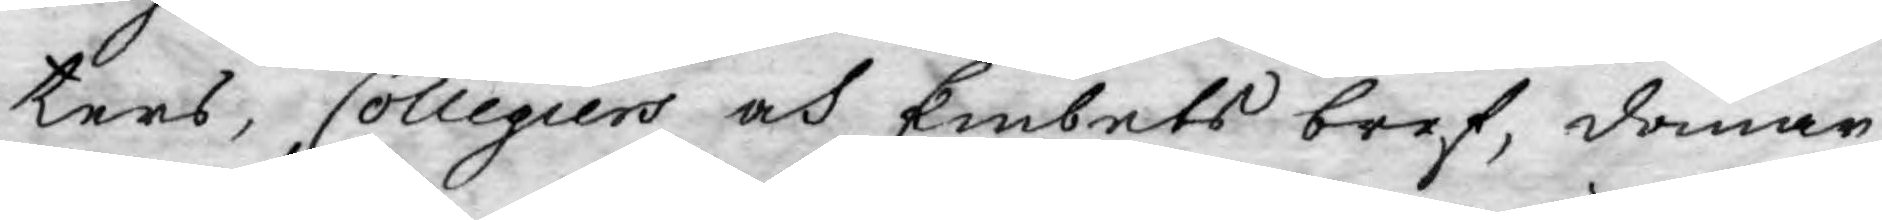ters, Collegiers och Embets bref, domar
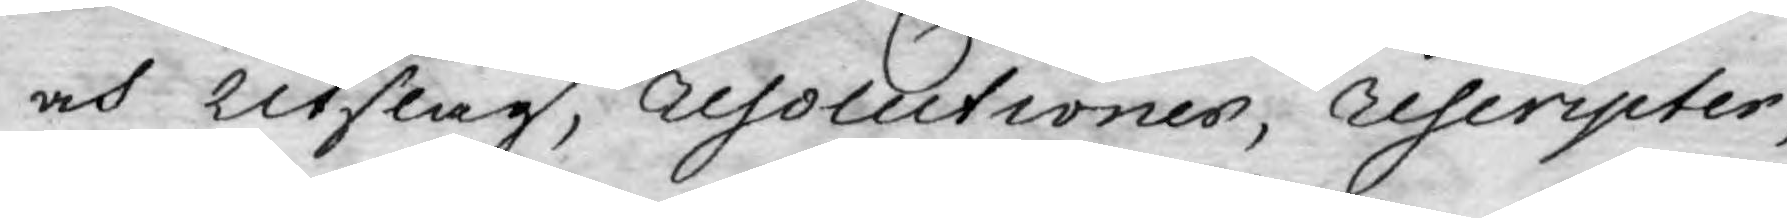och Utslag, resolutioner, rescripter,
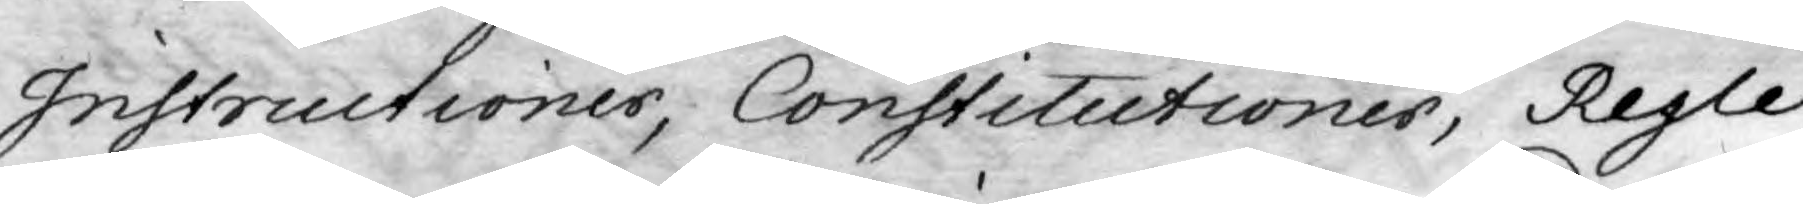Instructioner, Constitutioner, Regle¬
